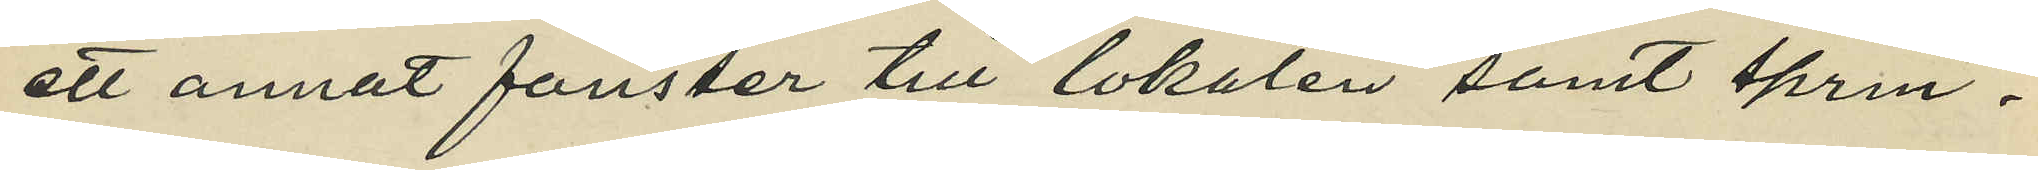ett annat fönster till lokalen samt sprin¬
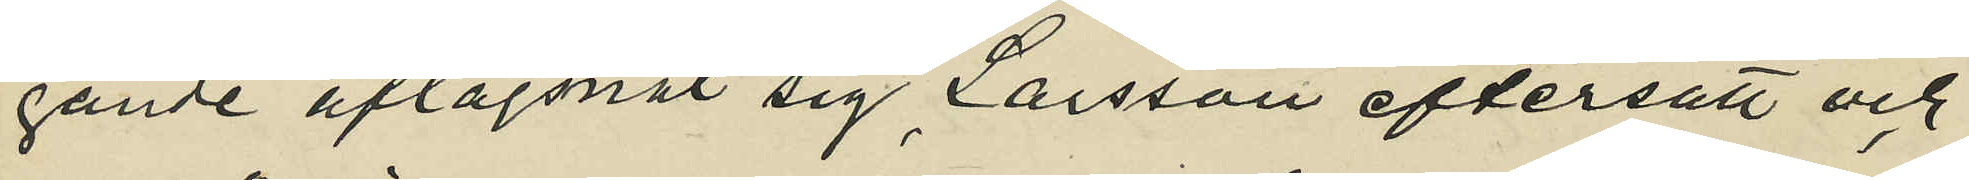gande aflägsnat sig Larsson eftersatt och
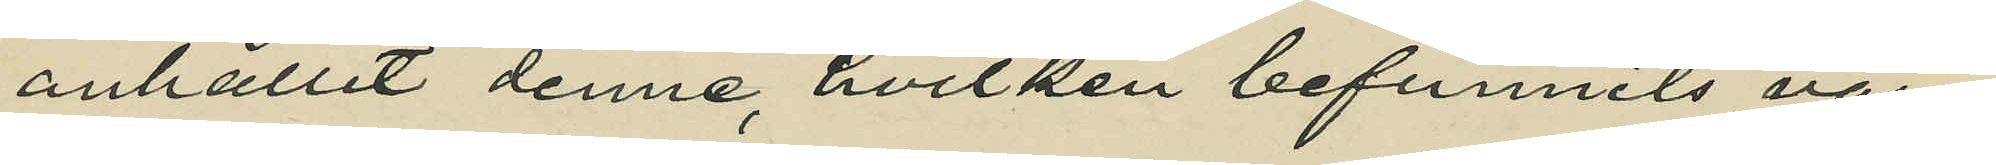anhållit denne, hvilken befunnits vara
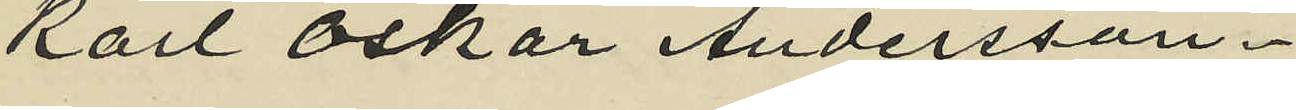Karl Oskar Andersson.
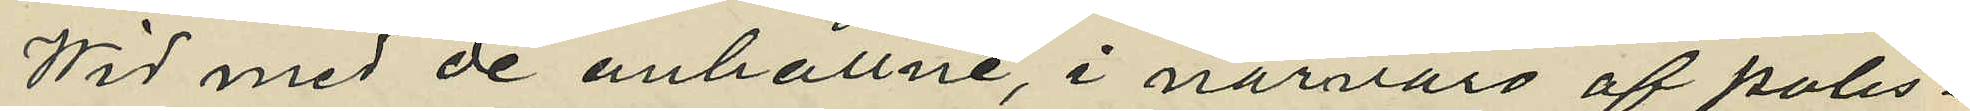Wid med de anhållne, i närvaro af polis¬
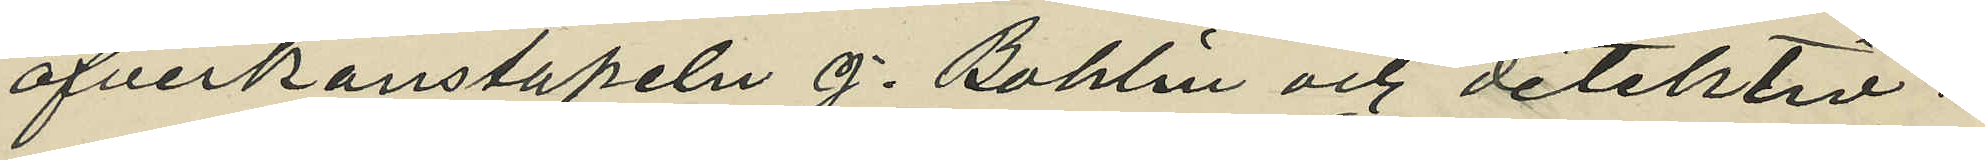öfverkonstapeln J. Bohlin och detektiv¬
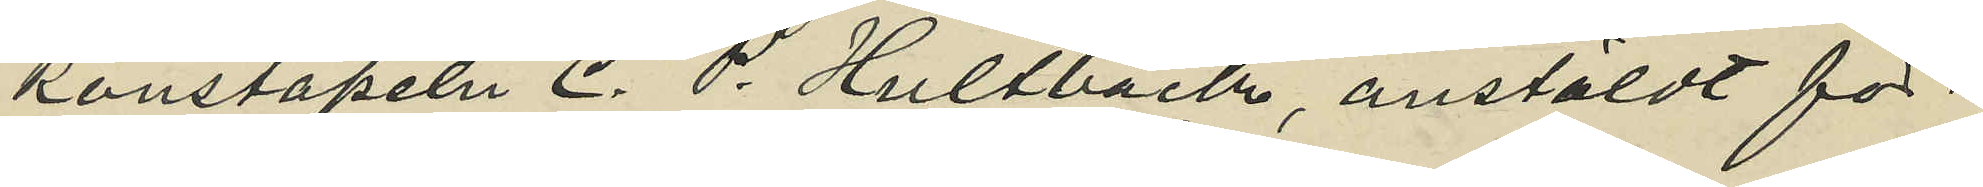konstapeln C. P. Hultbäck, anstäldt för¬
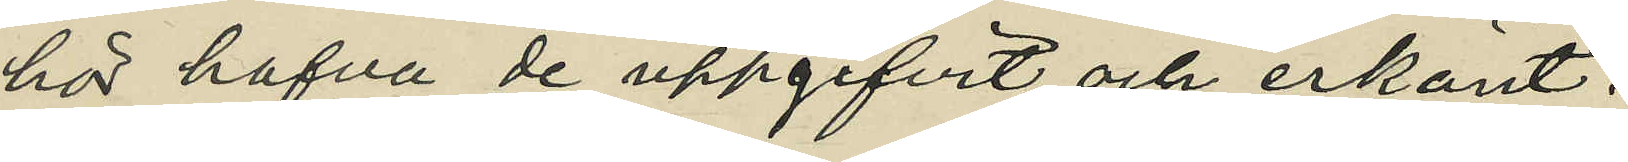hör hafva de uppgifvit och erkänt:
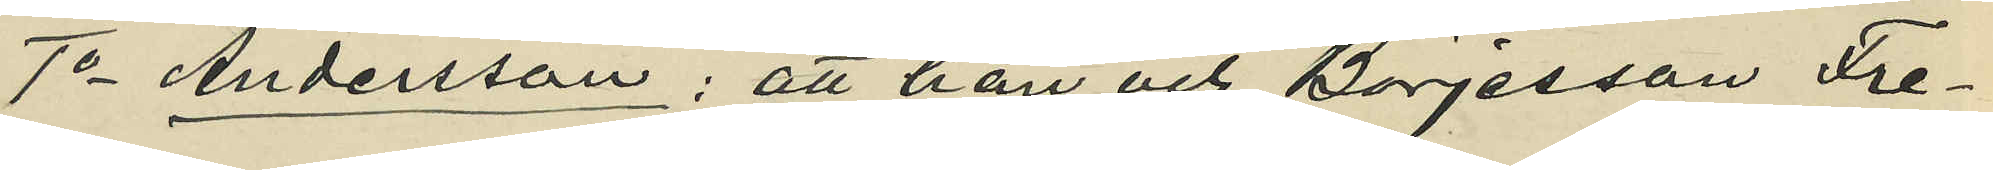1o Andersson: att han och Börjesson Fre¬
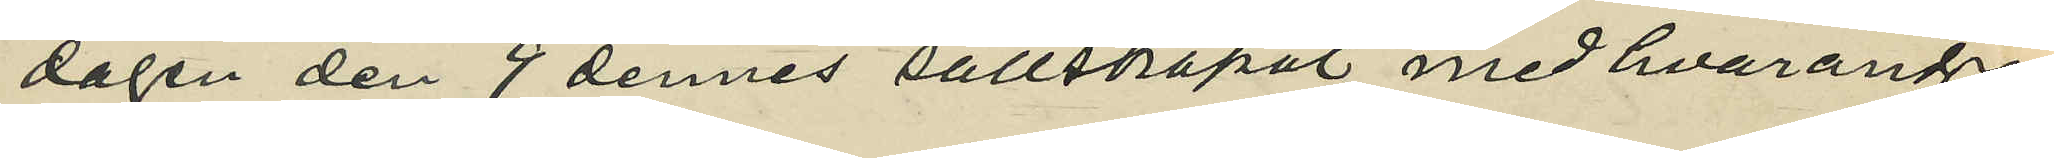dagen den 9 dennes sällskapat med hvarandra
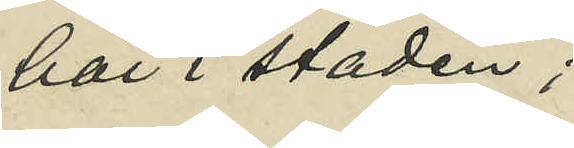här i staden;
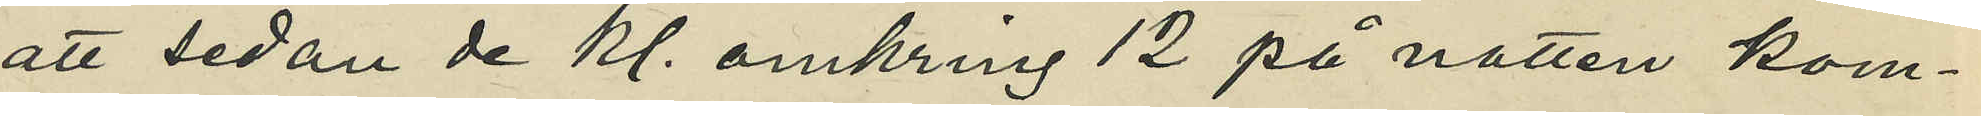att sedan de kl. omkring 12 på natten kom¬
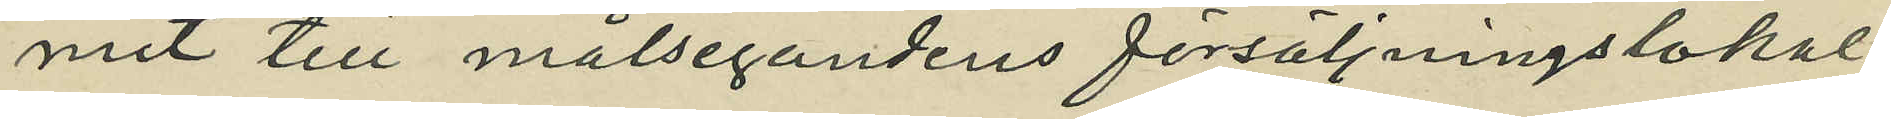mit till målsegandens försäljningslokal
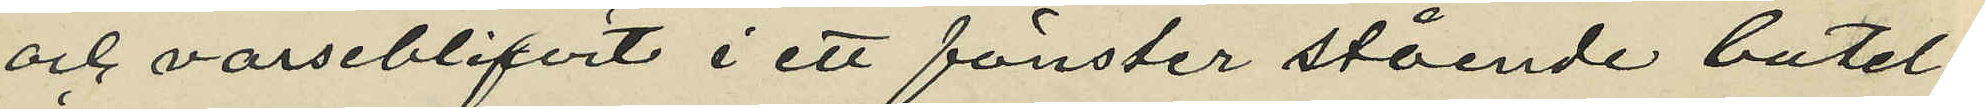och varseblifvit i ett fönster stående butel¬
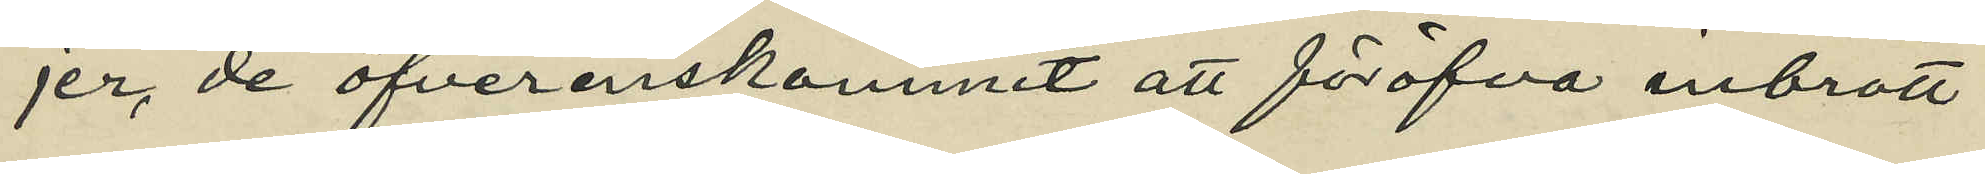jer de öfverenskommit att föröfva inbrott
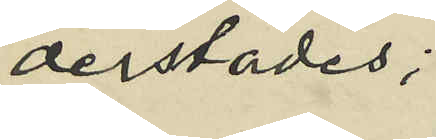derstädes;
